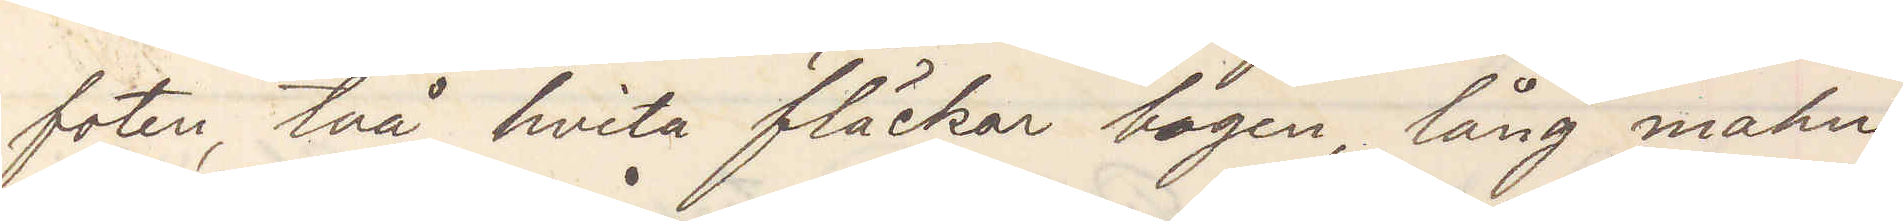foten, två hvita fläckar bogen, lång mahn,
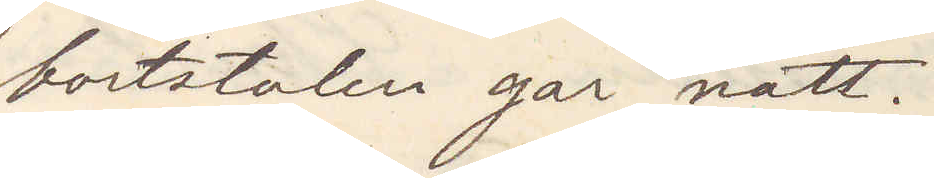bortstulen går natt.
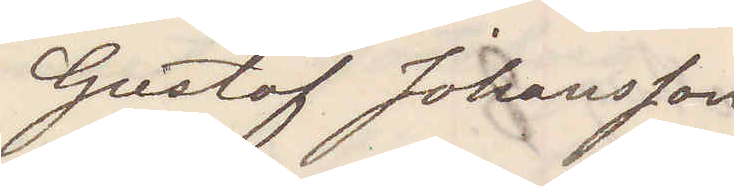Gustaf Johansson
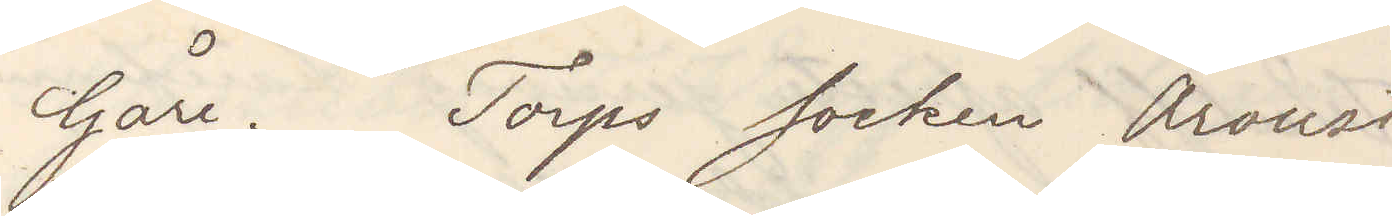Gåre. Torps socken Oroust
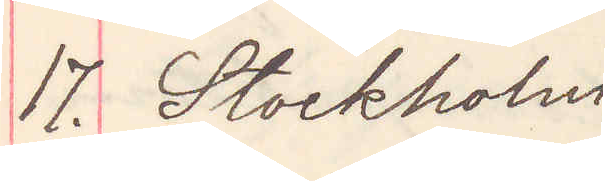17. Stockholm
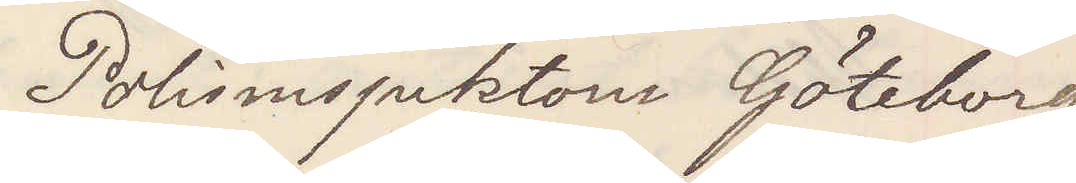Polisinspektorn Göteborg
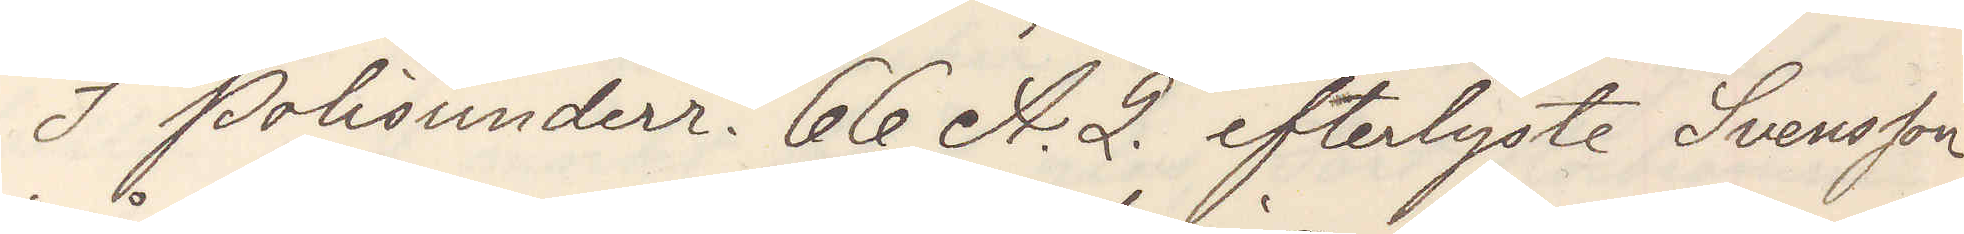I Polisunderr. 66 A. 2. efterlyste Svensson
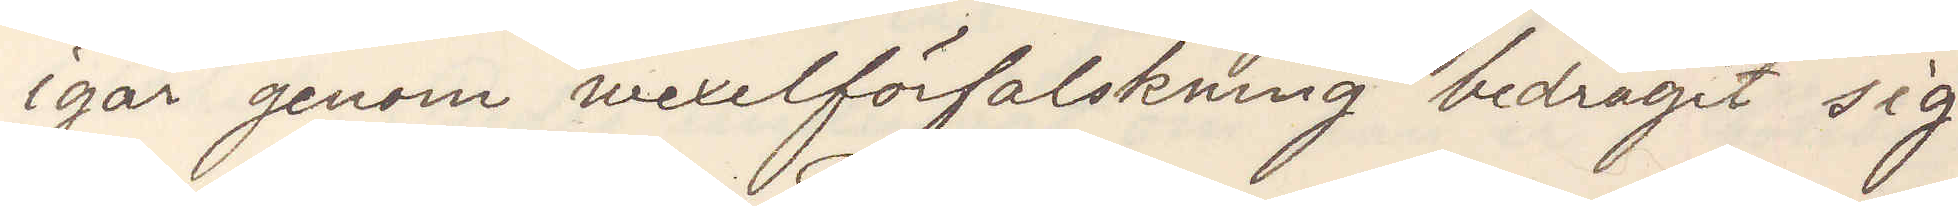igår genom vexelförfalskning bedragit sig
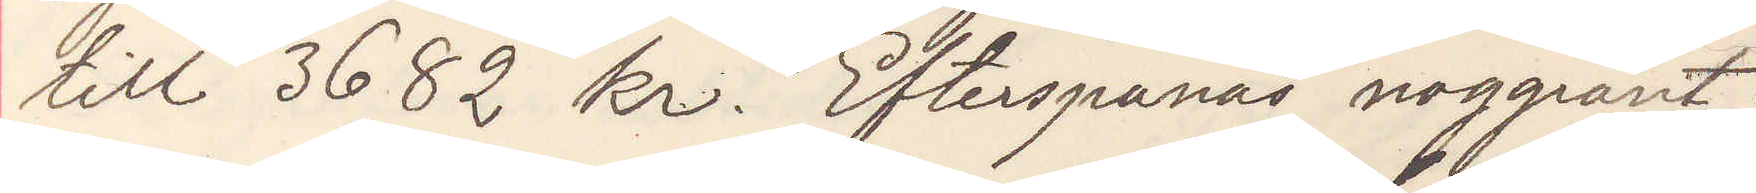till 3682 kr. Efterspanas noggrant.
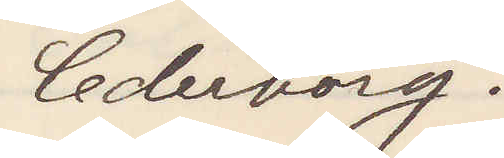Cederborg.
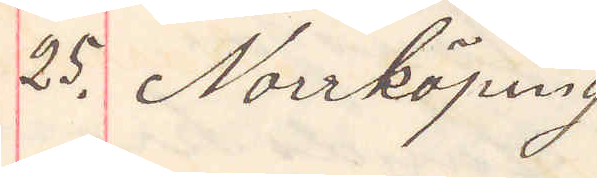25. Norrköping
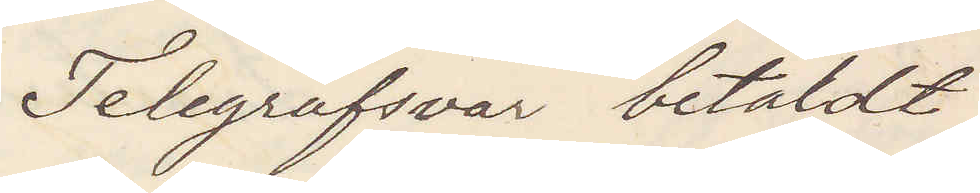Telegrafsvar betaldt
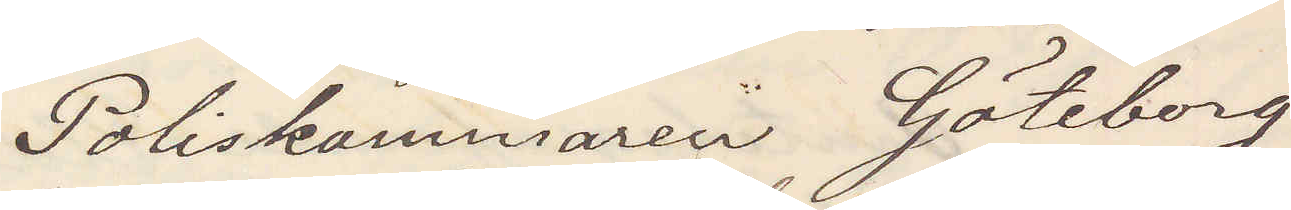Poliskammaren Göteborg
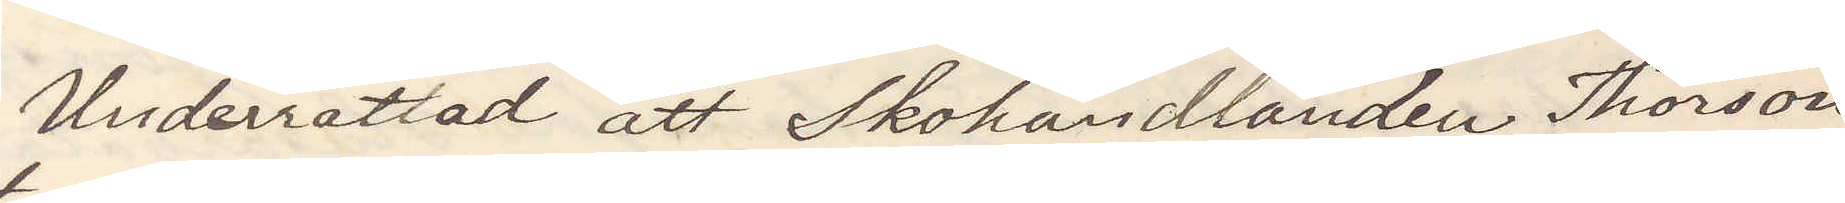Underrättad att Skohandlanden Thorson
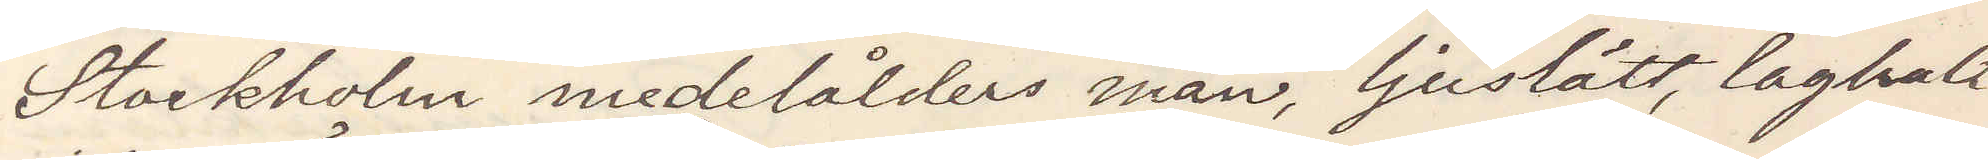Stockholm medelålders man ljuslätt laghalt
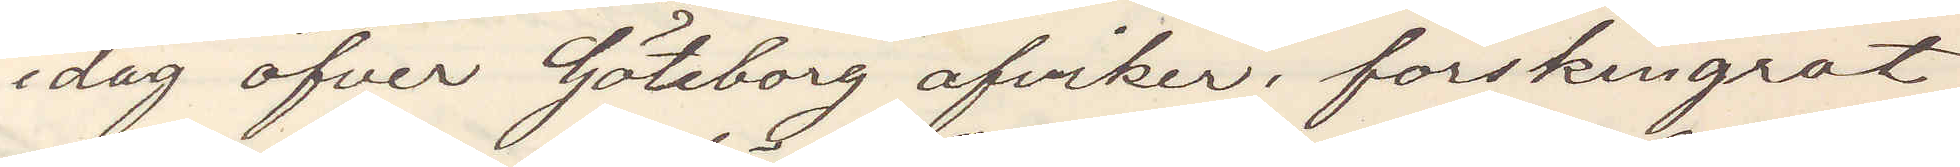idag öfver Göteborg afviker; förskingrat
